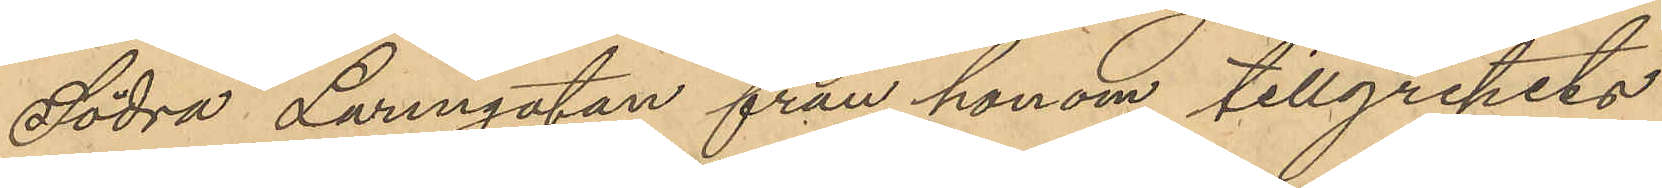Södra Larmgatan från honom tillgripits
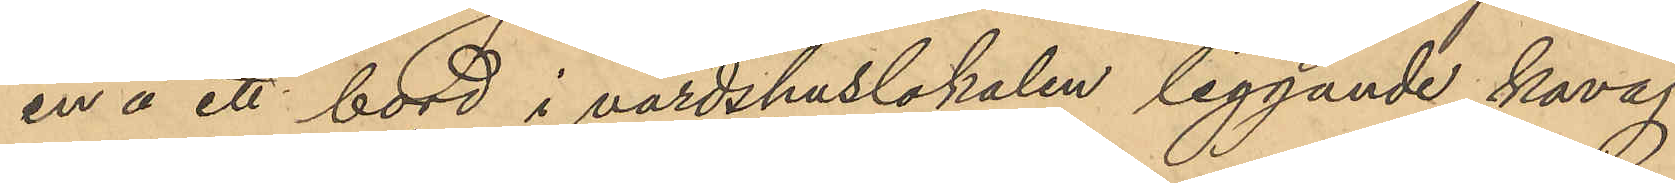en å ett bord i värdshuslokalen liggande kavaj
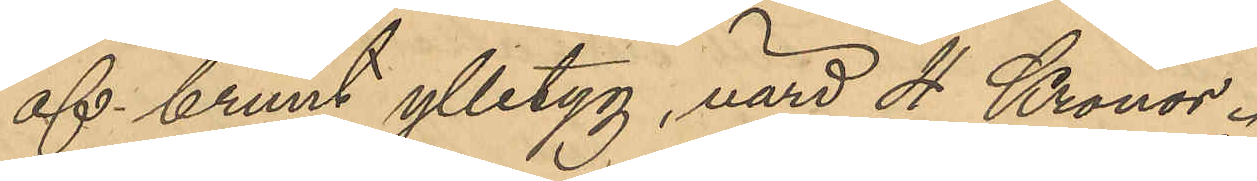af brunt ylletyg, värd 4 Kronor.
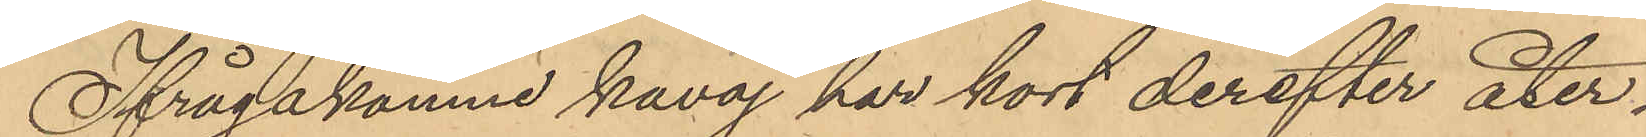Ifrågakomne kavaj har kort derefter åter¬
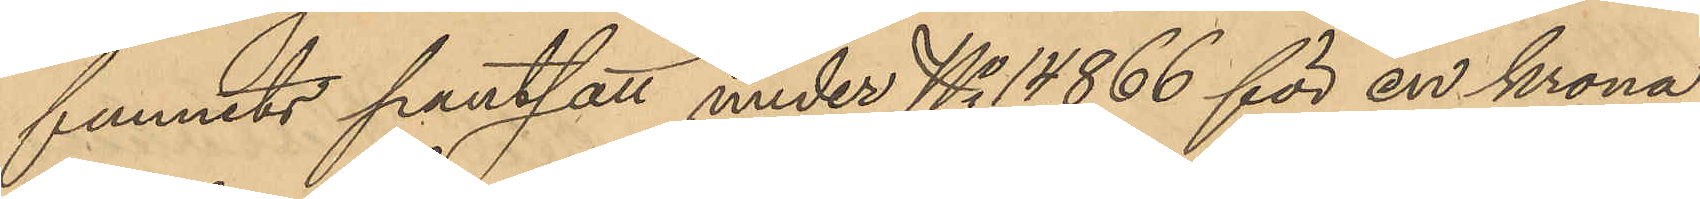funnits pantsatt under No 14,866 för en krona
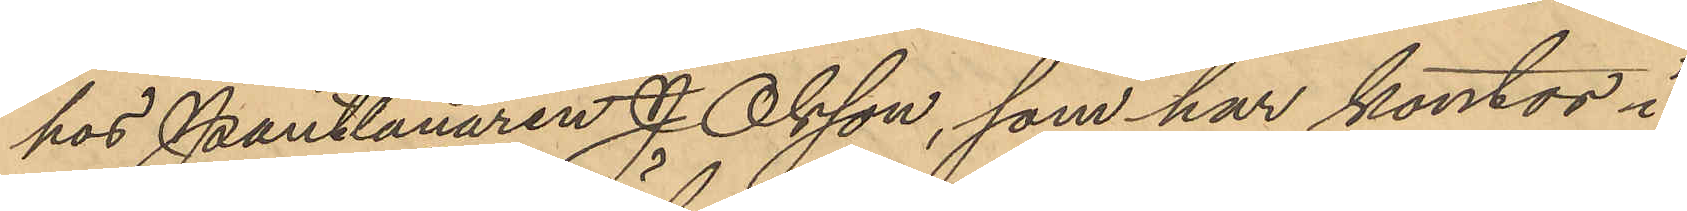hos Pantlånaren J. Olsson, som har kontor i
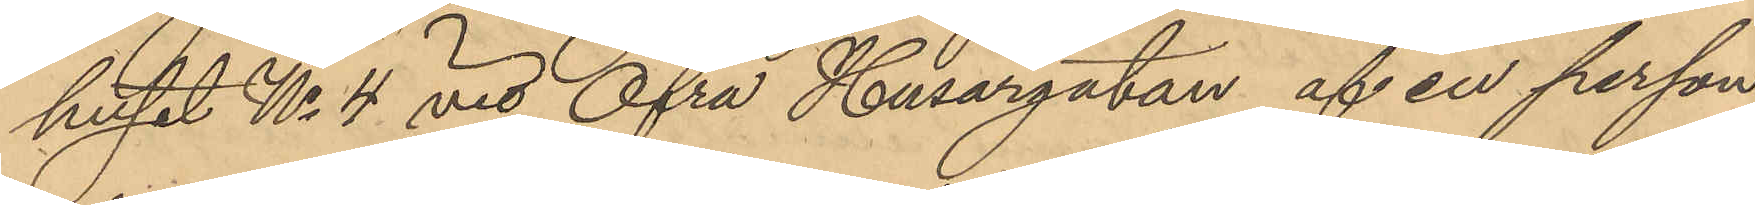huset No 4 vid Öfra Husargatan af en person
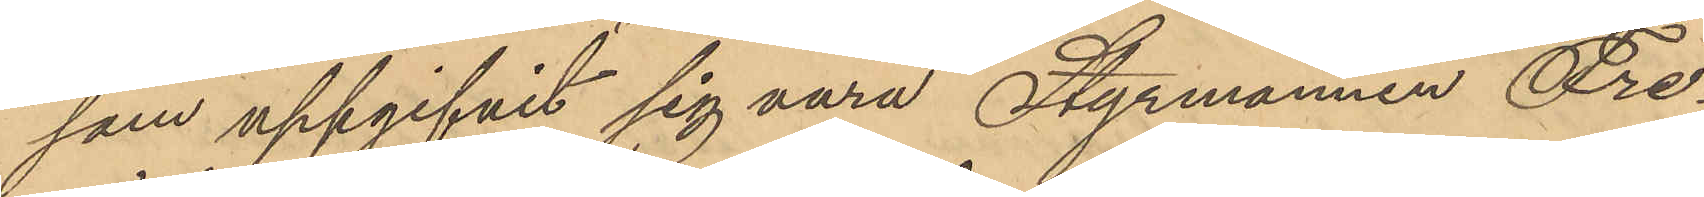som uppgifvit sig vara Styrmannen Fre¬
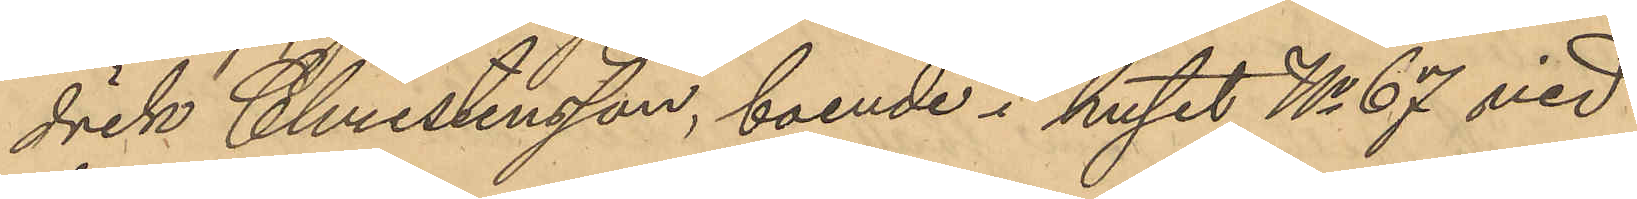drik Christensson, boende i huset No 67 vid
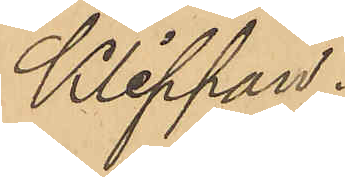Klippan.
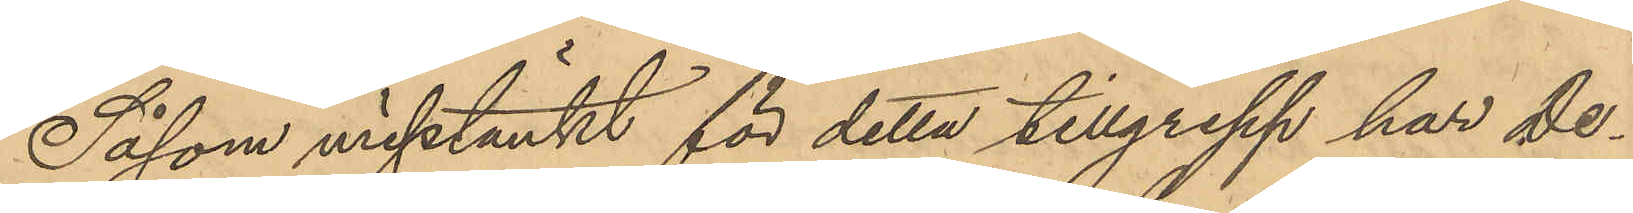Såsom misstänkt för detta tillgrepp har De¬
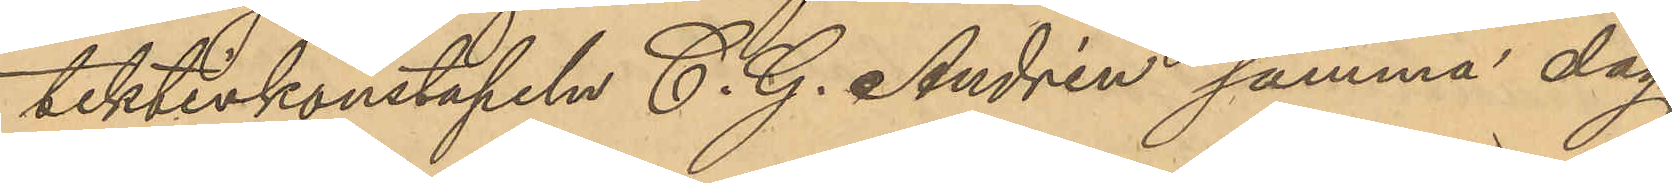tektivkonstapeln C. G. Andrén samma dag
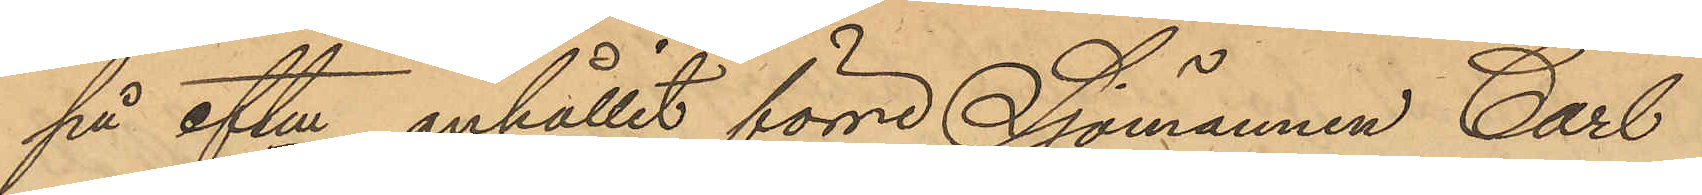på eftm anhållit förre Sjömannen Carl
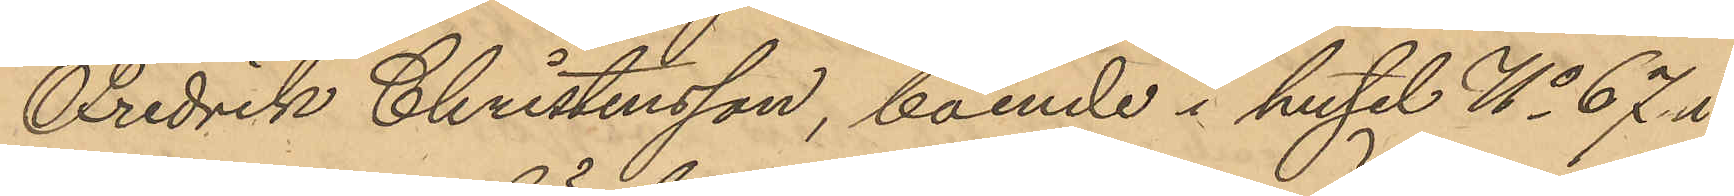Fredrik Christensson, boende i huset No 67 i
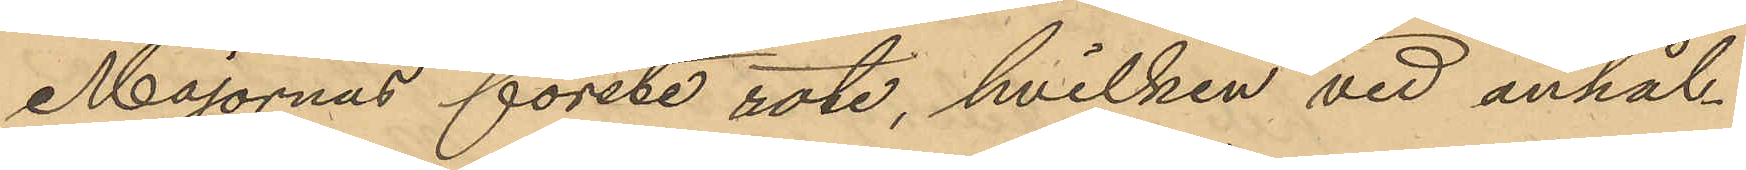Majornas förste rote, hvilken vid anhål¬
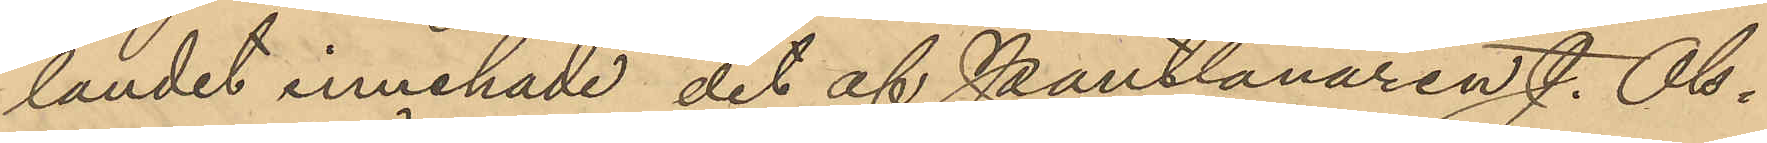landet innehade det af Pantlånaren J. Ols¬
